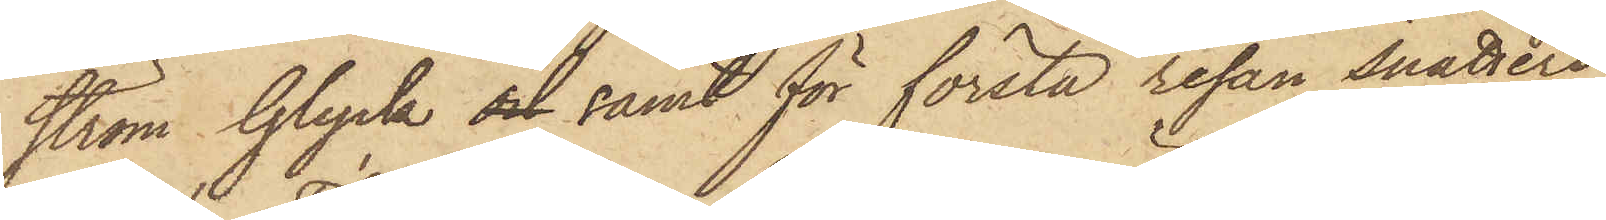ström Glyck och samt för första resan snatteri
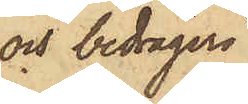och bedrägeri
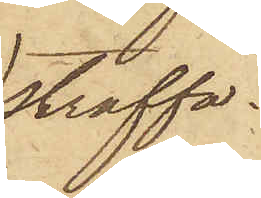straffa¬
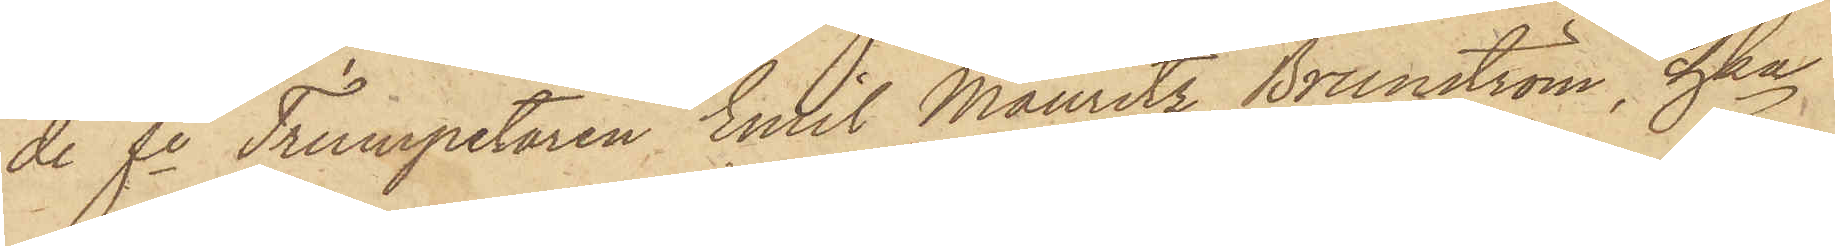de fe Trumpetaren Emil Mauritz Brunström, hka
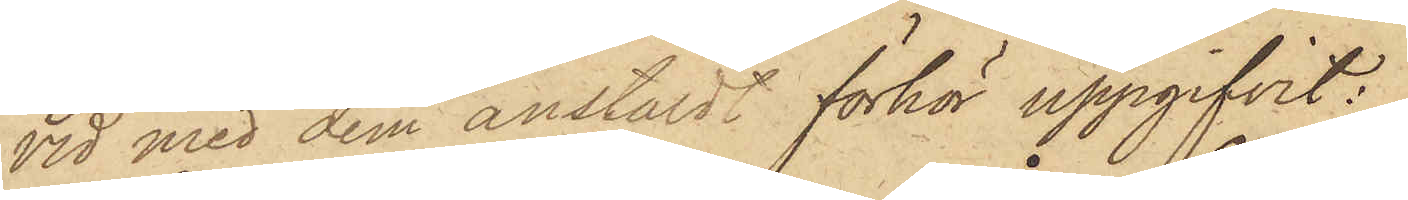vid med dem anstäldt förhör uppgifvit:
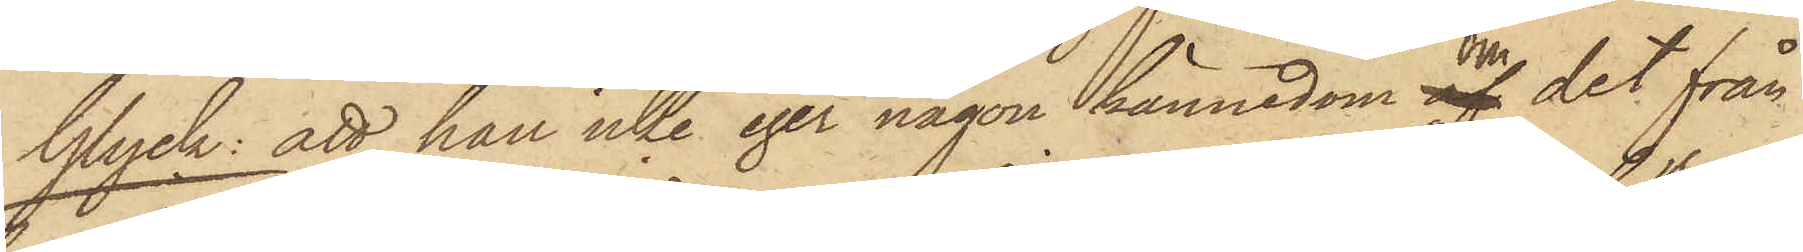Glyck: att han icke eger någon kännedom om af det från
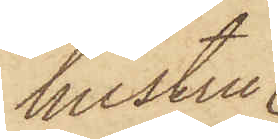hustru
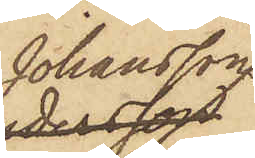Johansson
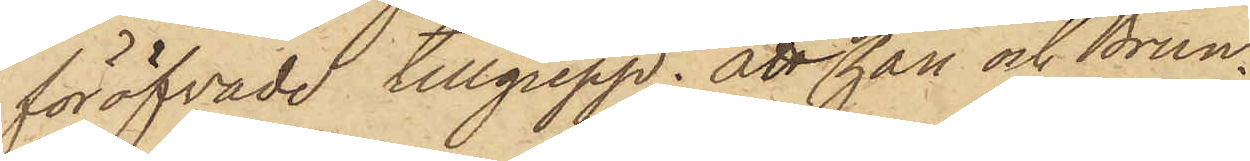föröfvade tillgrepp; att då han och Brun¬
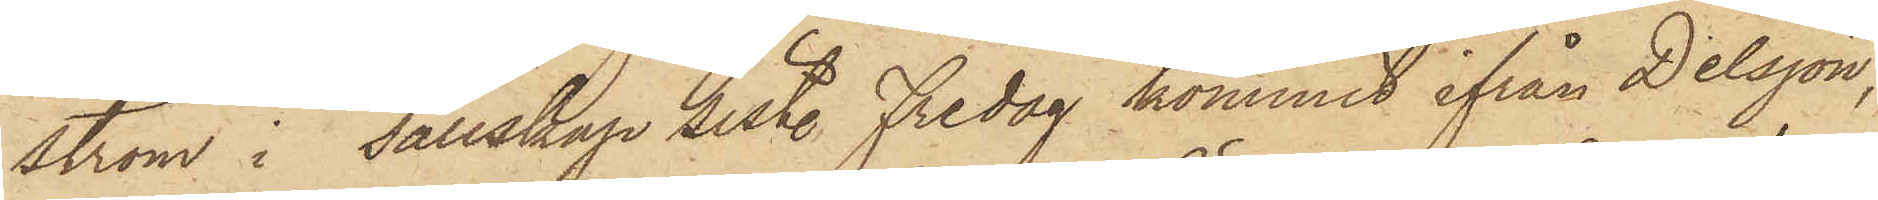ström i sällskap sist. Fredag kommit ifrån Delsjön,
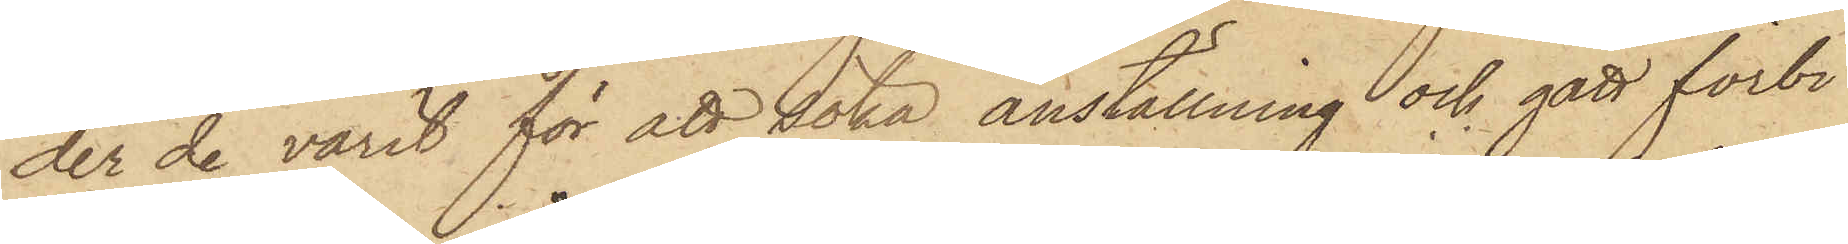der de varit för att söka anställning och gått förbi
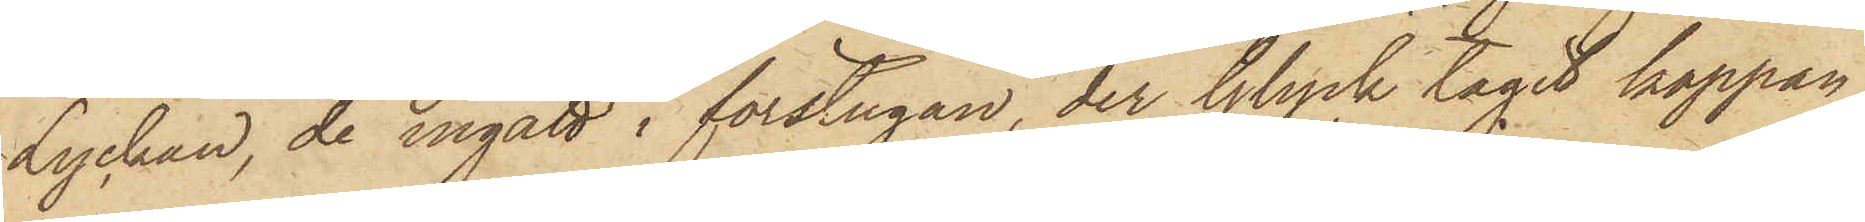Lyckan, de ingått i förstugan, der Glyck tagit kappan
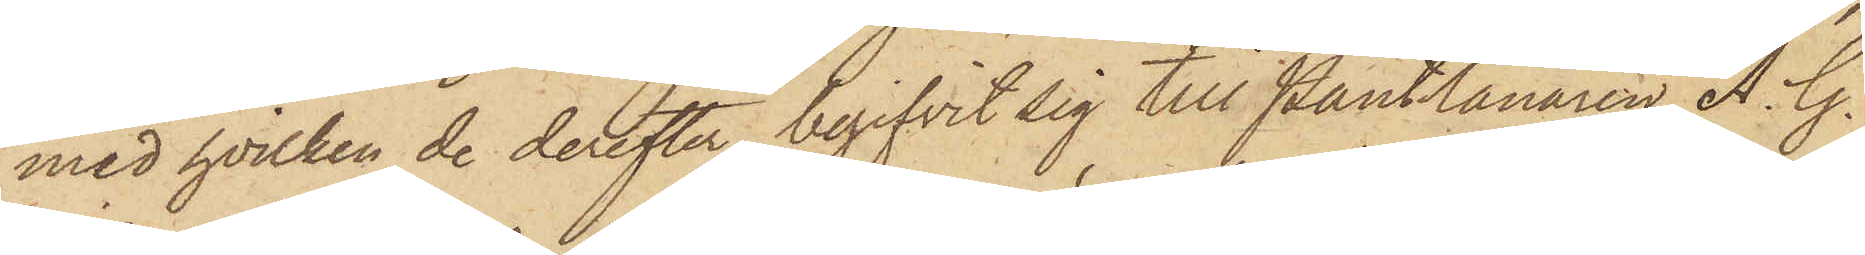med hvilken de derefter begifvit sig till Pantlånaren A. G.
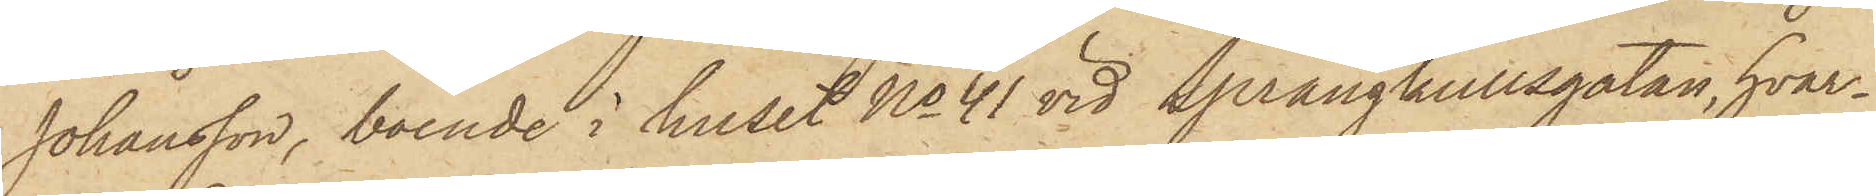Johansson, boende i huset No 41 vid Sprängkullsgatan, hvar¬
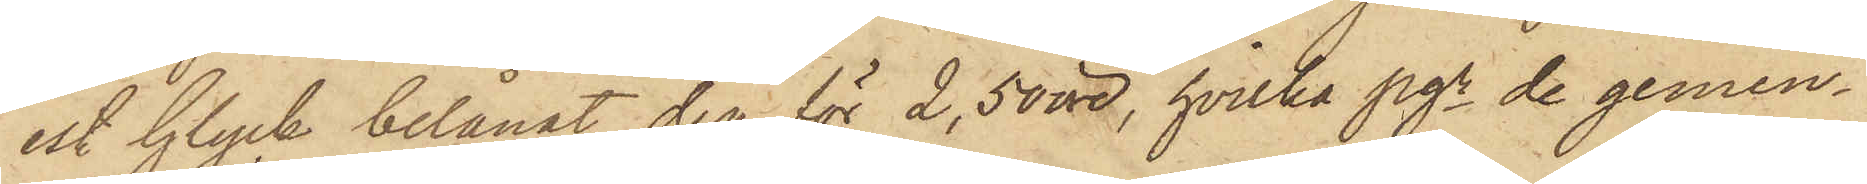est Glyck belånat den för 2,50 öre, hvilka pgr de gemen¬
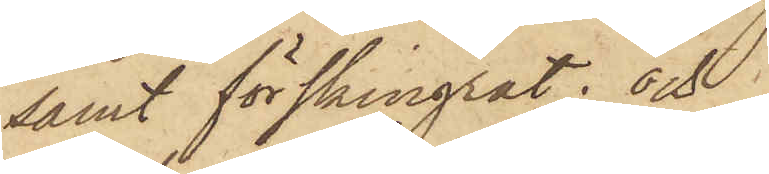samt förskingrat; och
